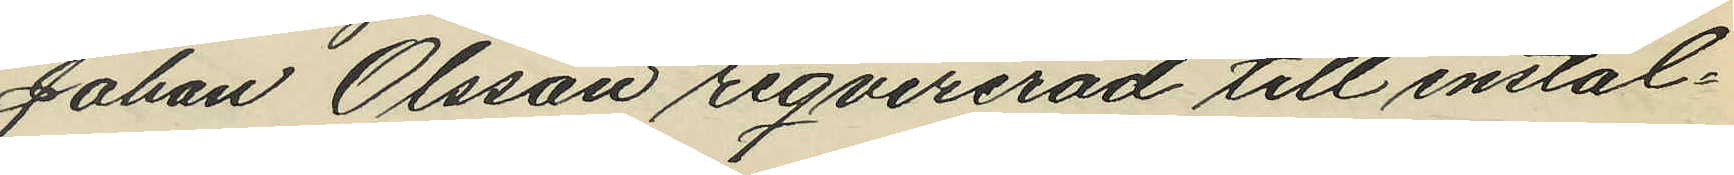Johan Olsson reqvirerad till instäl¬
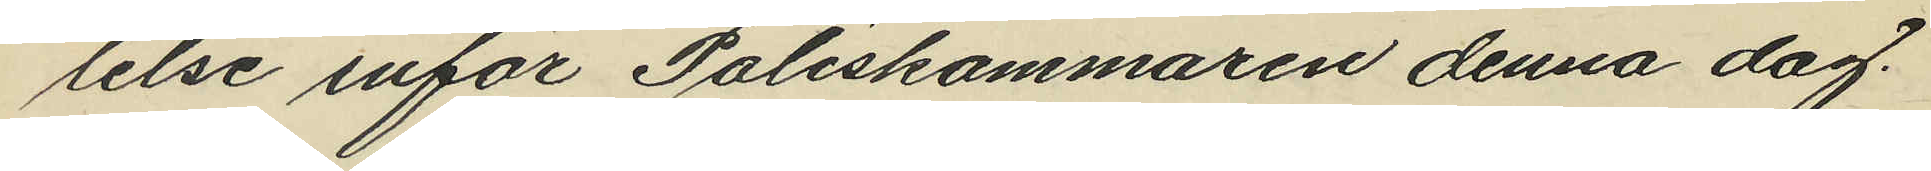lelse inför Poliskammaren denna dag.
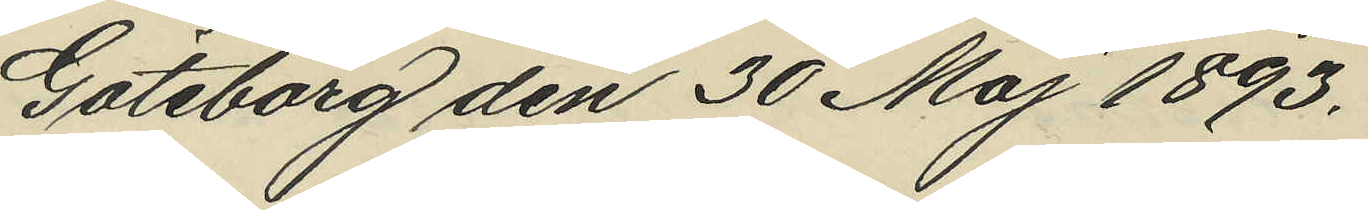Göteborg den 30 Maj 1893.
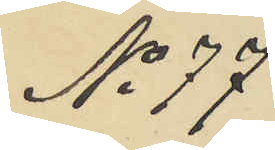No 77
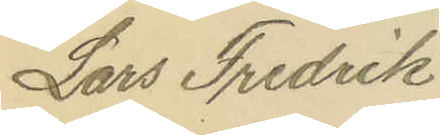Lars Fredrik
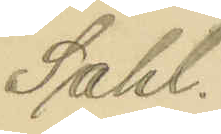Sahl.
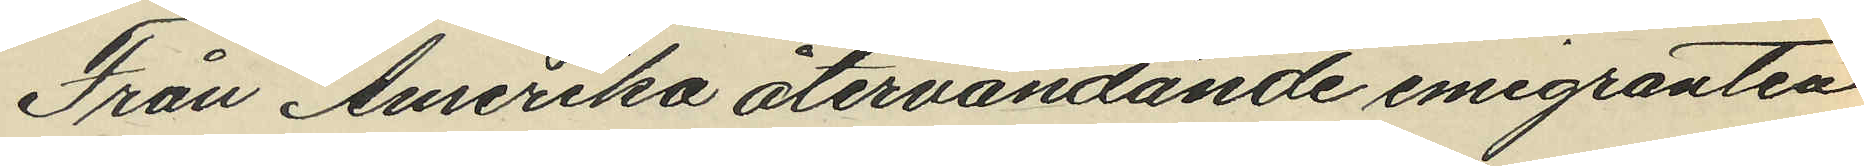Från Amerika återvändande emigranten
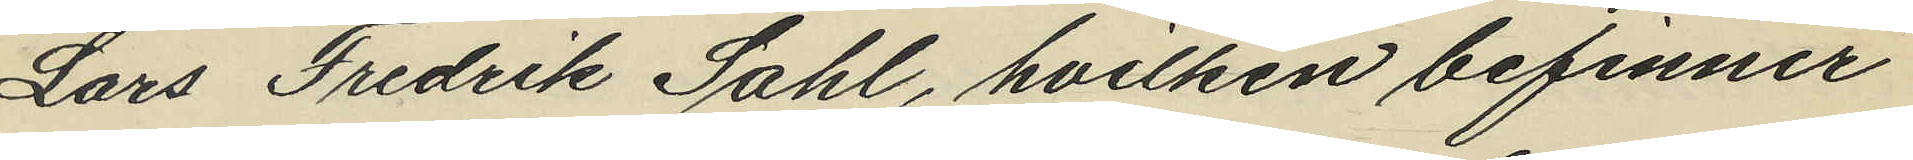Lars Fredrik Sahl, hvilken befinner
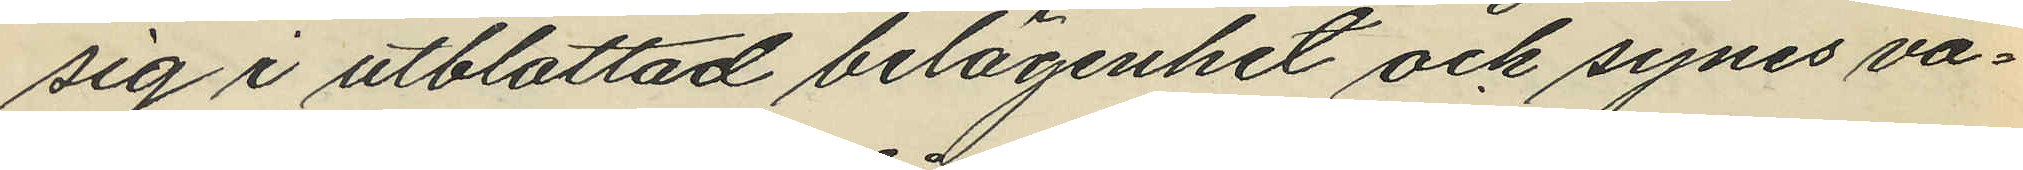sig i utblottad belägenhet och synes va¬
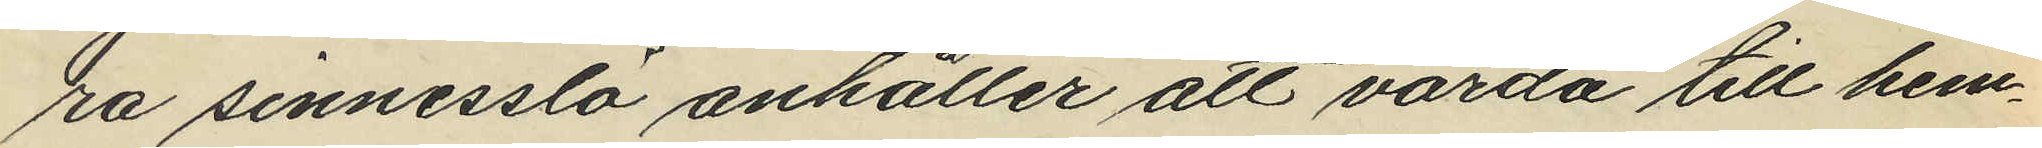ra sinnesslö anhåller att varda till hem¬
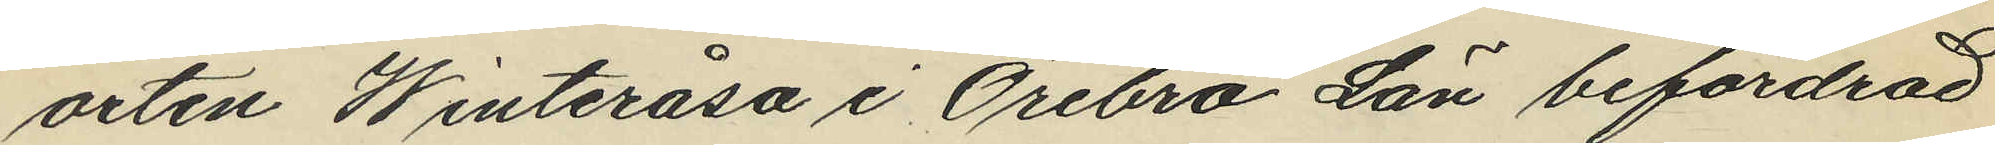orten Winteråsa i Örebro Län befordrad
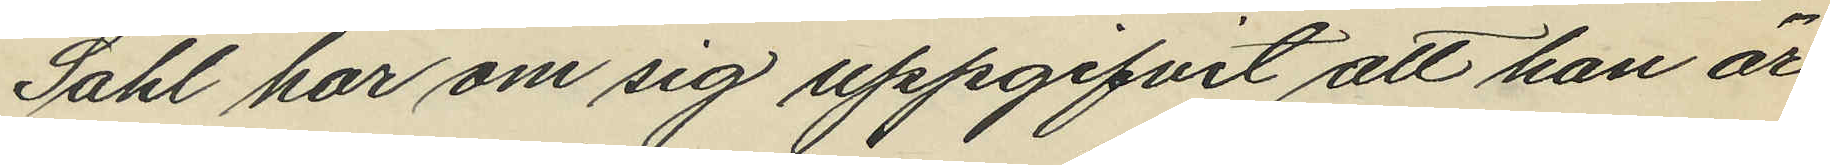Sahl har om sig uppgifvit att han är
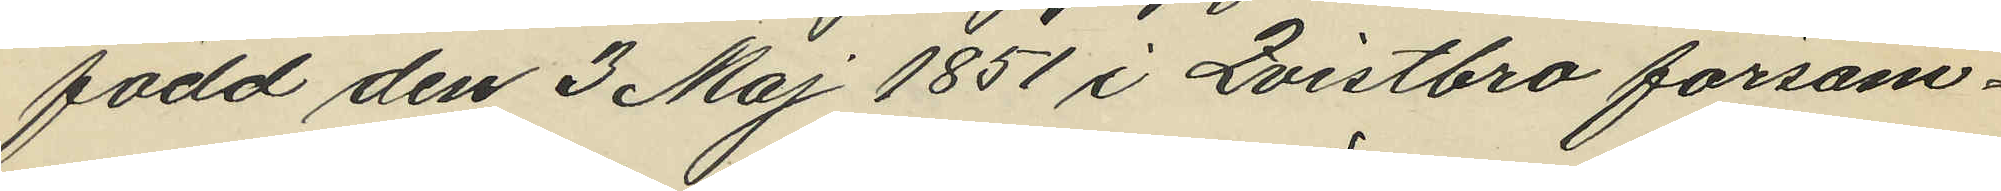född den 3 Maj 1851 i Qvistbro försam¬
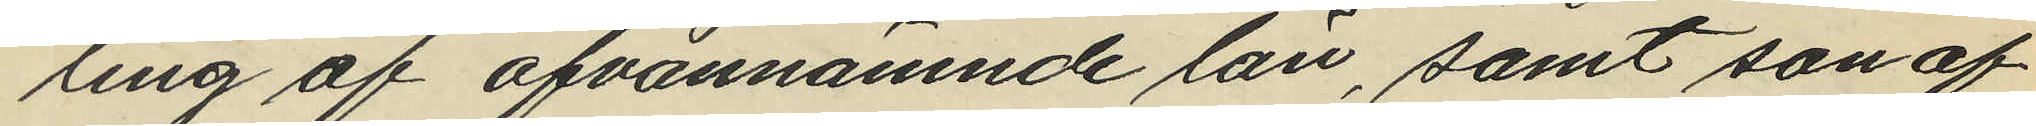ling af ofvannämnde län, samt son af
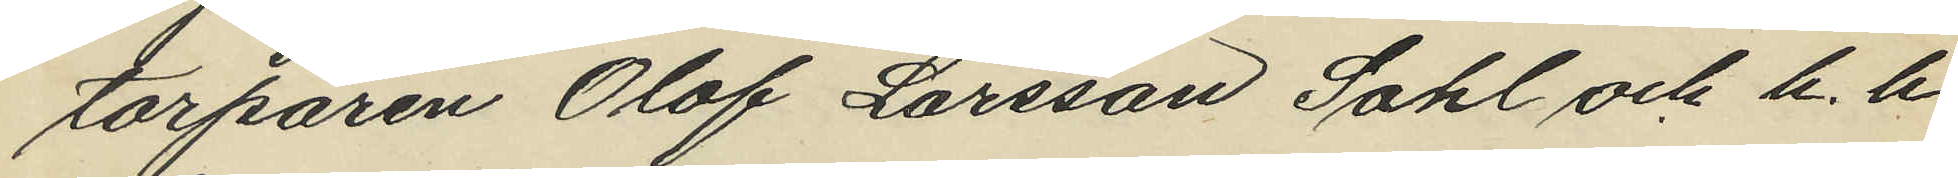torparen Olof Larsson Sahl och h. h.
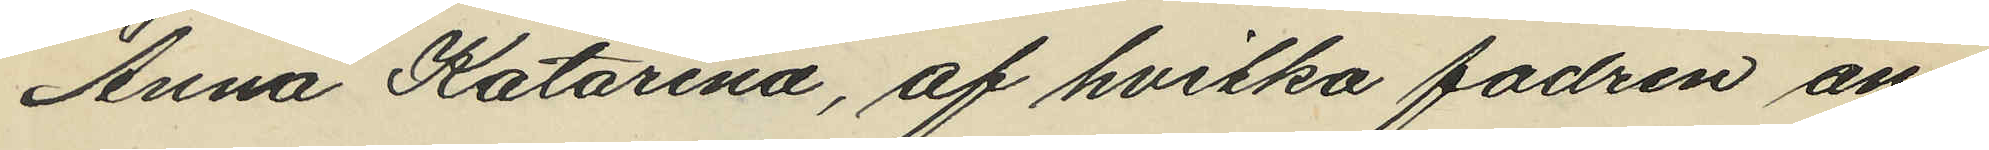Anna Katarina, af hvilka fadren an¬
